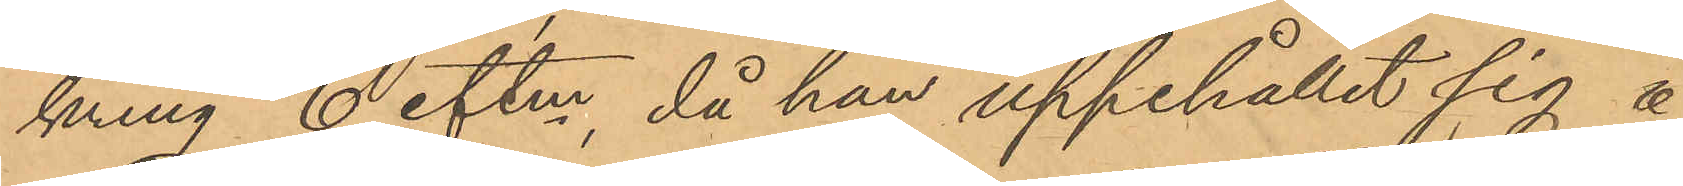kring 6 eftm, då han uppehållit sig å
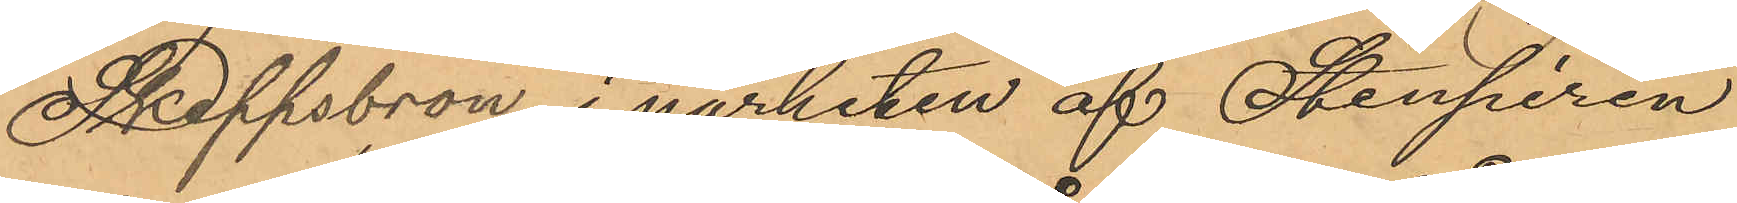Skeppsbron i närheten af Stenpiren
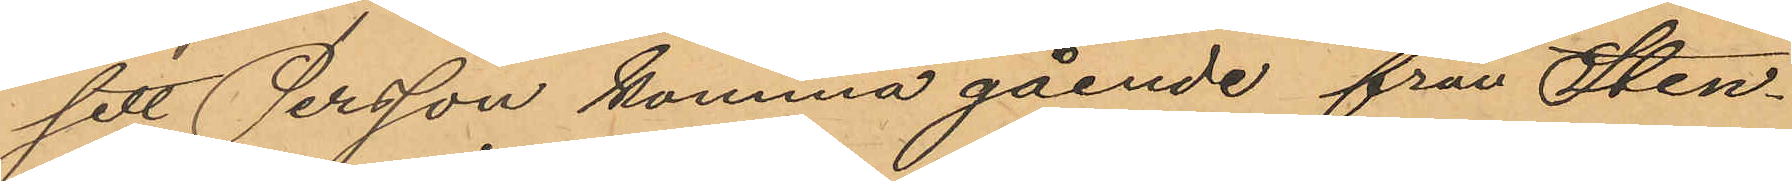sett Persson komma gående från Sten¬
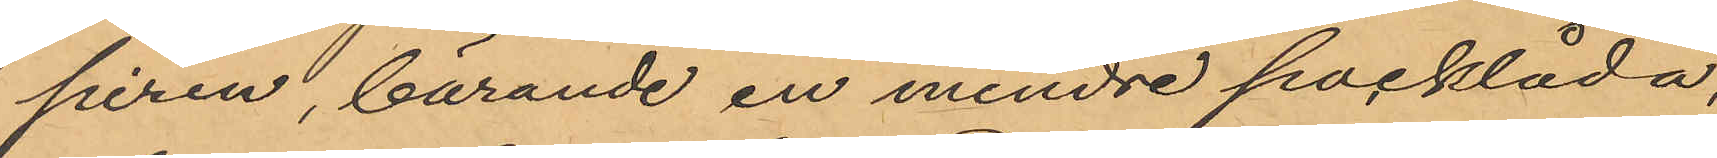piren, bärande en mindre packlåda,
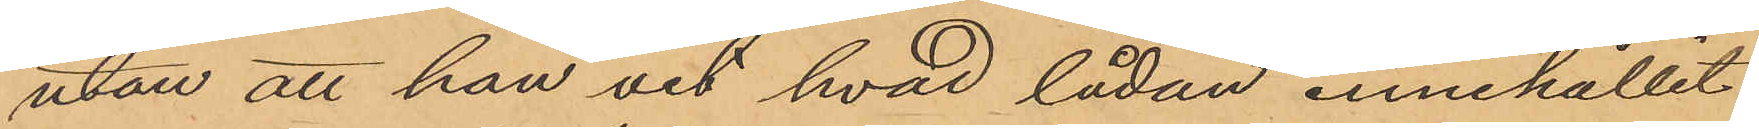utan att han vet hvad lådan innehållit
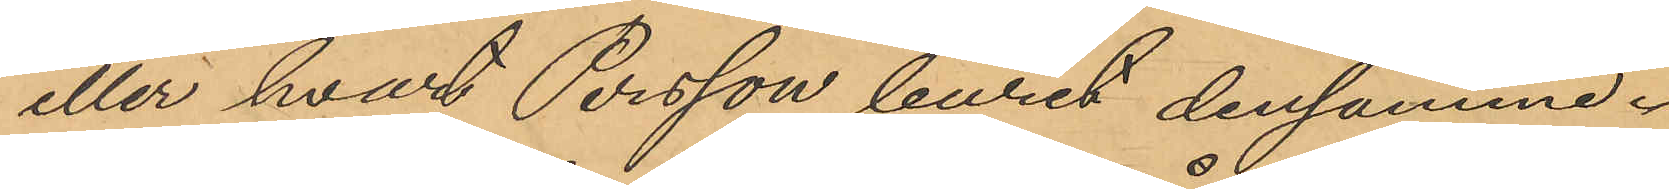eller hvart Persson burit densamme.
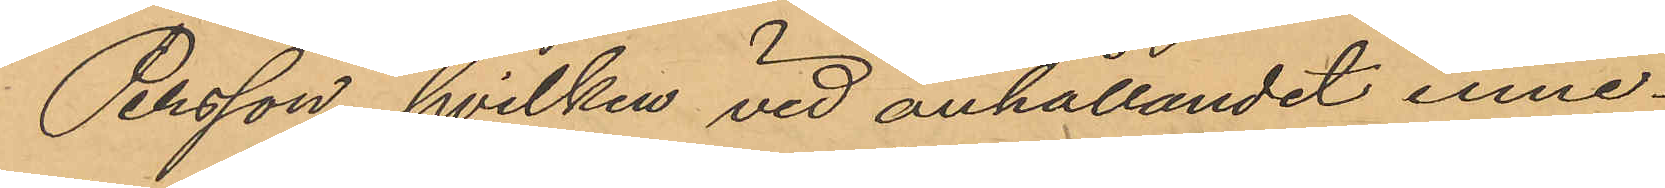Persson, hvilken vid anhållandet inne¬
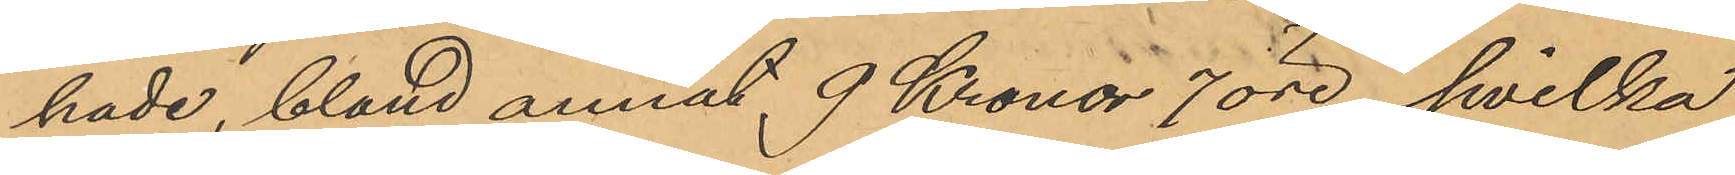hade, bland annat 9 Kronor 7 öre, hvilka
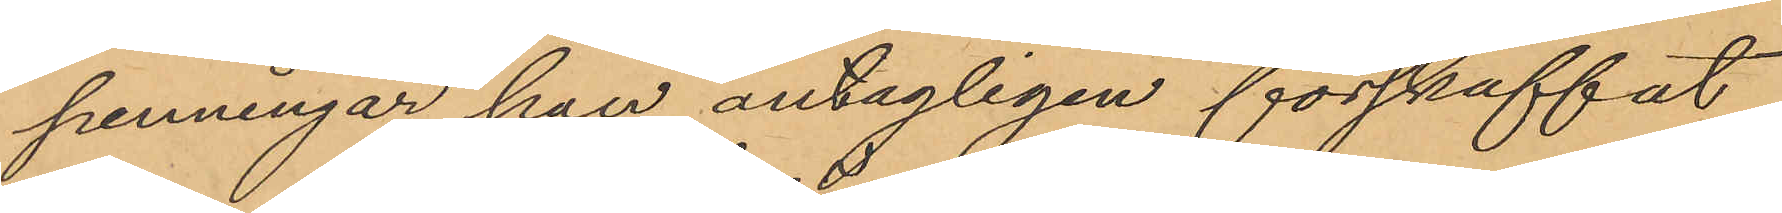penningar han antagligen förskaffat
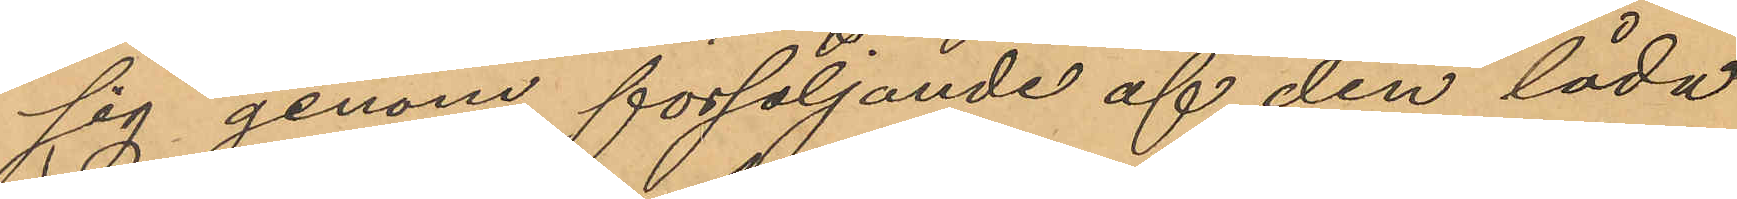sig genom försäljande af den låda
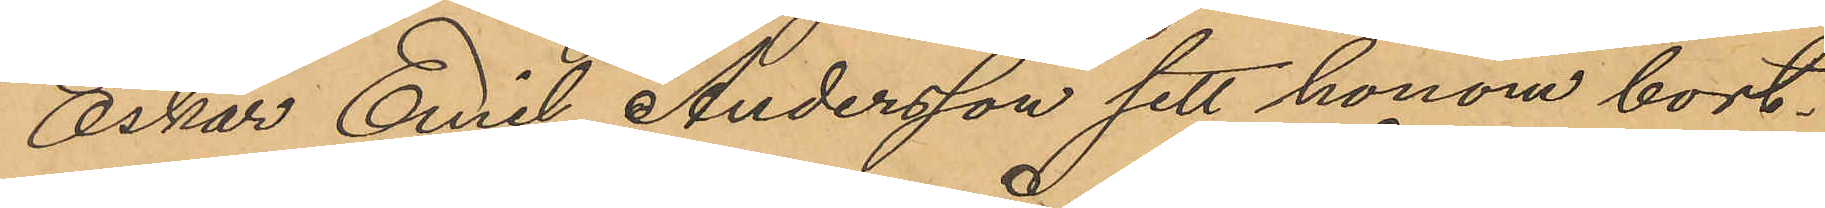Oskar Emil Andersson sett honom bort¬
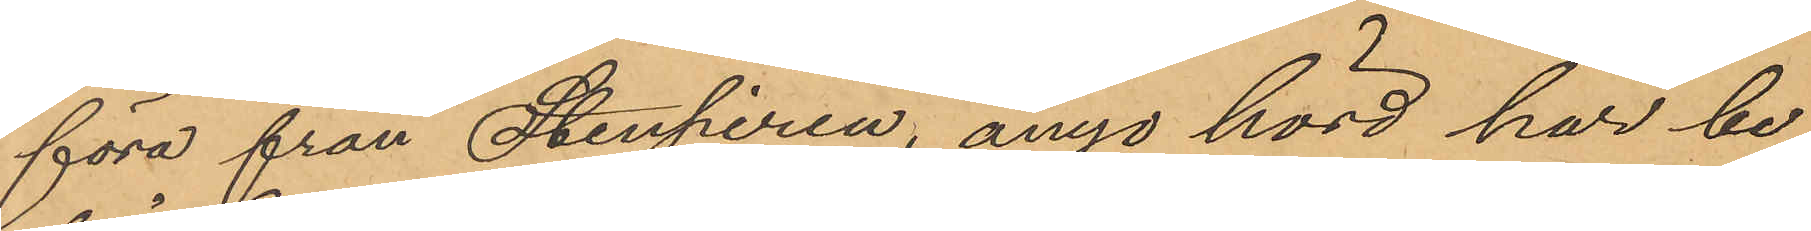föra från Stenpiren, ånyo hörd har be¬
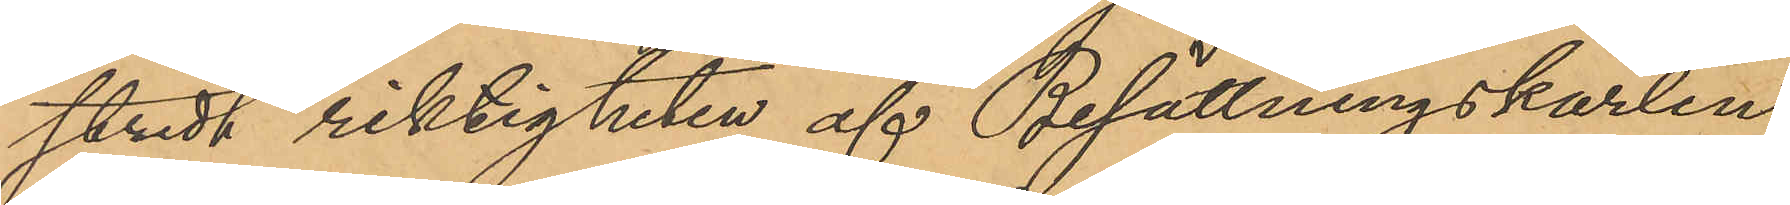stridit riktigheten af Besättningskarlen
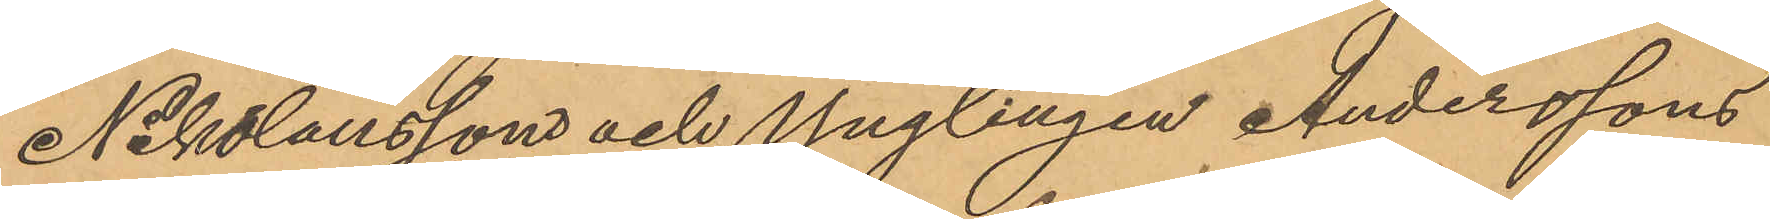Nikolaussons och Ynglingen Anderssons
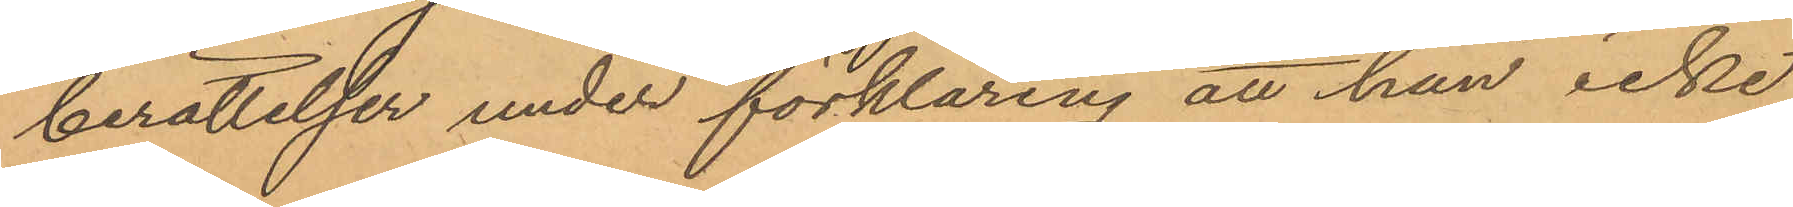berättelser under förklaring att han icke
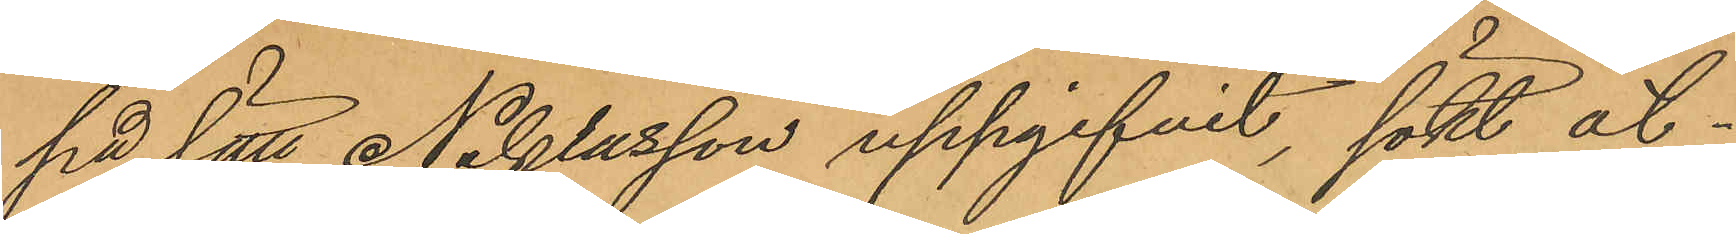på sätt Niklasson uppgifvit, sökt åt¬
